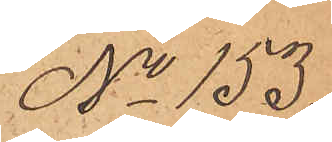No 153
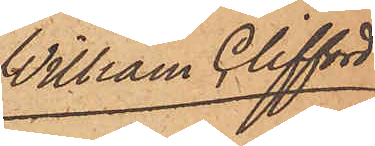William Clifford
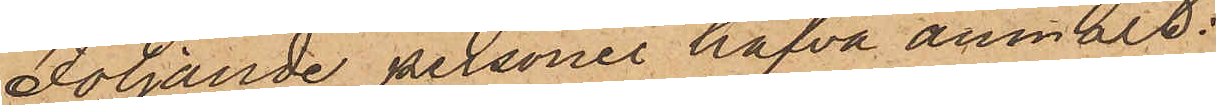Följande personer hafva anmält:
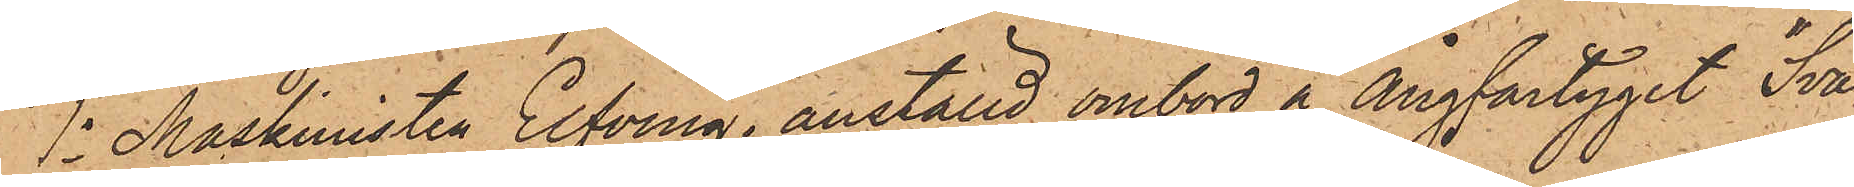1o Maskinisten Elfving, anställd ombord å ångfartyget "Sva¬
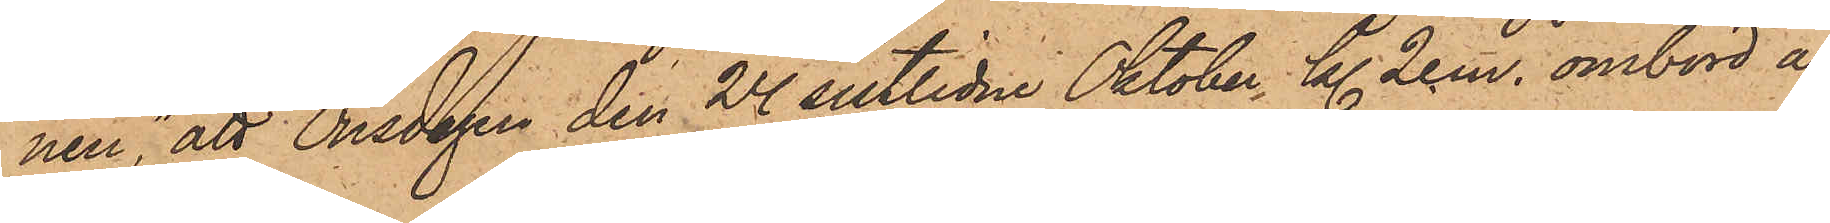nen", att Onsdagen den 24 sistlidne Oktober, kl 2 e.m. ombord å
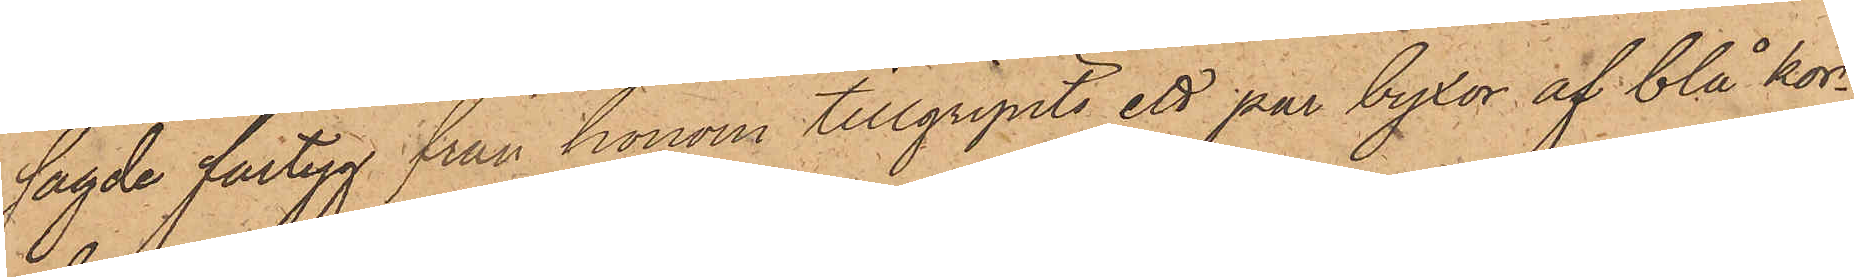sagde fartyg från honom tillgripits ett par byxor af blå kor¬
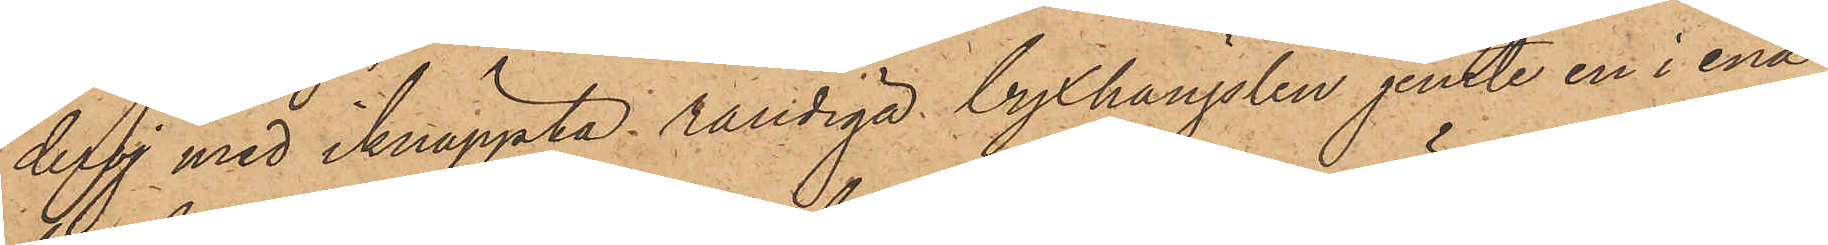deroj med iknäppta randiga byxhängslen jemte en i ena
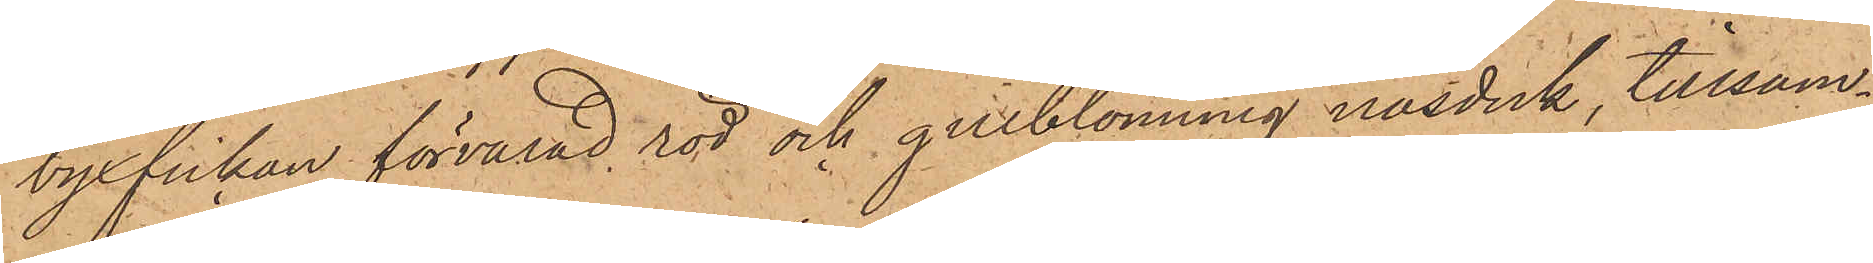byxfickan förvarad röd och gulblommig näsduk, tillsam¬
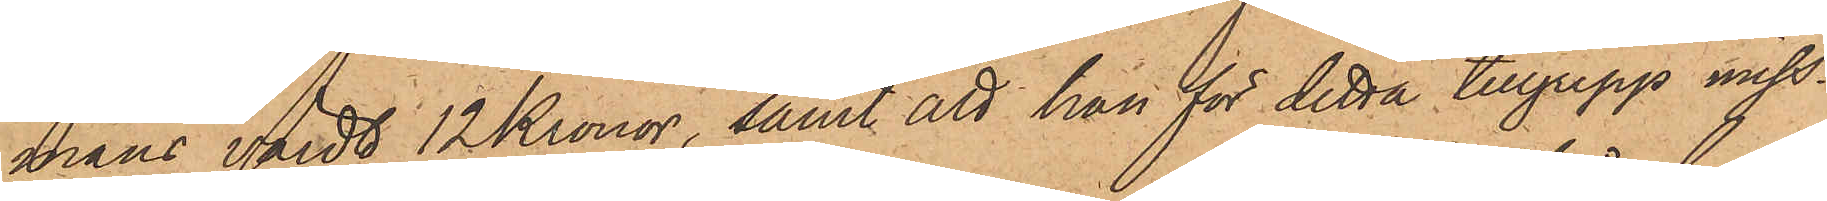mans värdt 12 Kronor, samt att han för detta tillgrepp miss¬
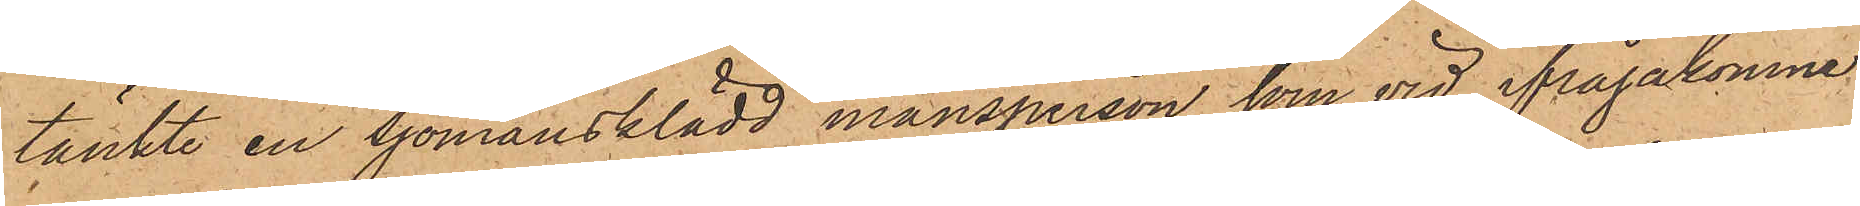tänkte en sjömansklädd mansperson, som vid ifrågakomne
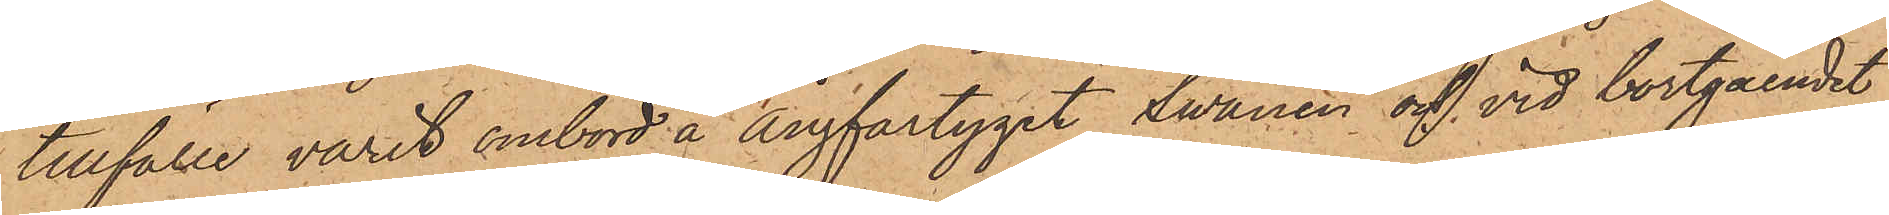tillfälle varit ombord å Ångfartyget "Svanen" och vid bortgåendet
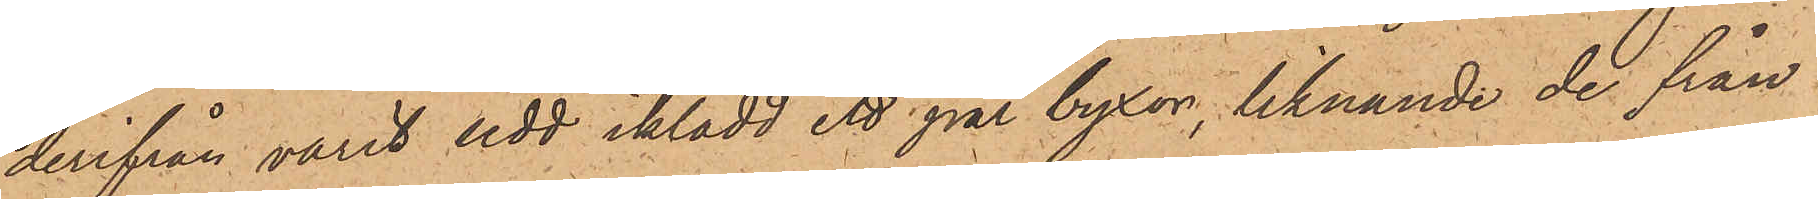derifrån varit sedd iklädd ett par byxor, liknande de från
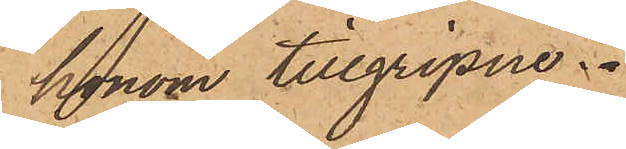honom tillgripne.
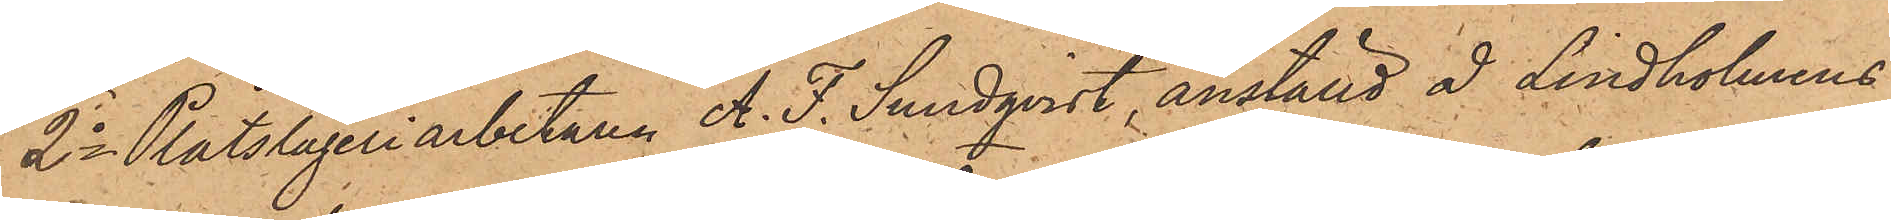2o Plåtslageriarbetaren A. F. Sundqvist, anställd å Lindholmens
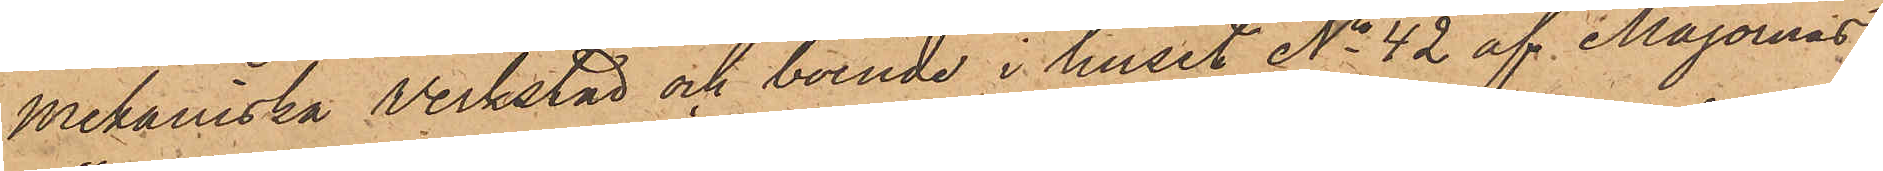Mekaniska Verkstad och boende i huset No 42 af Majornas
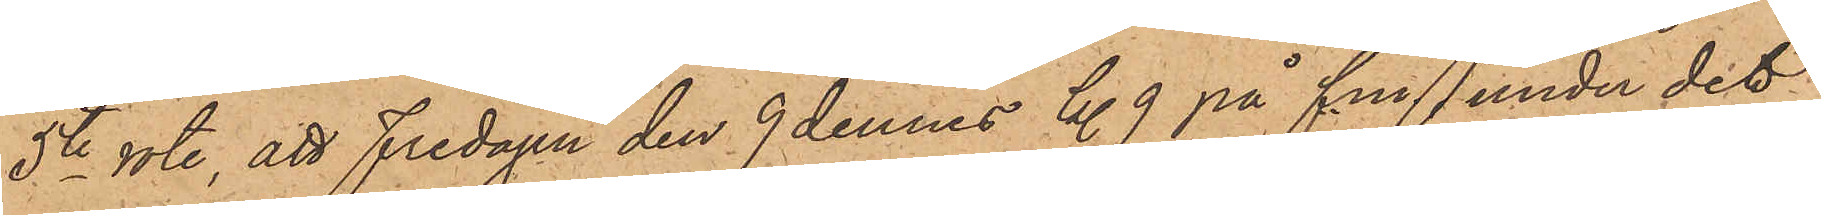5te rote, att Fredagen den 9 dennes kl. 9 på f.m. under det
